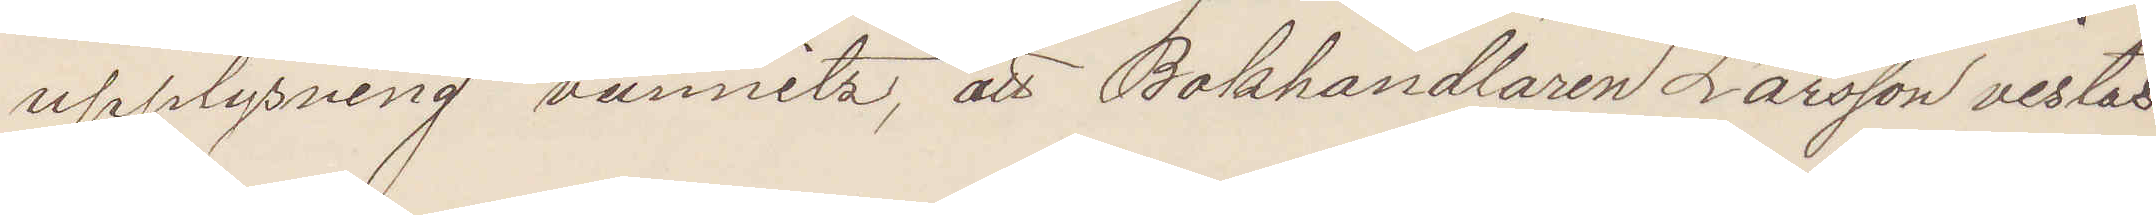upplysning vunnits, att Bokhandlaren Larsson vistas
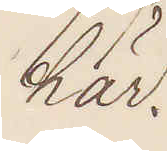här.
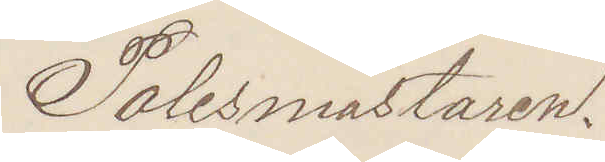Polismästaren.
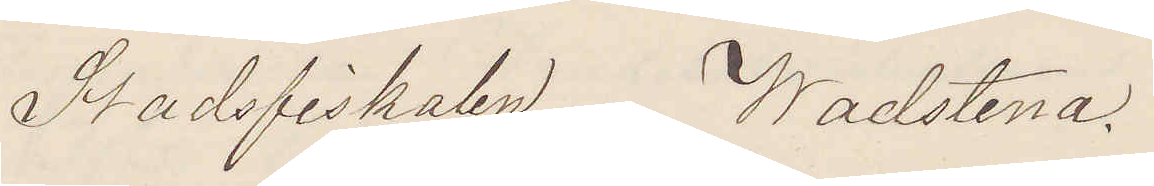Stadsfiskalen Wadstena.
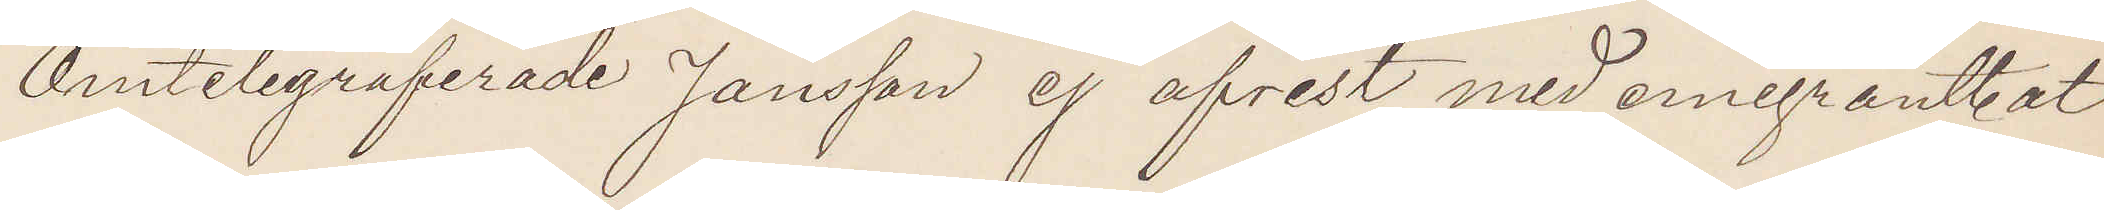Omtelegraferade Jansson ej afrest med emigrantbåt
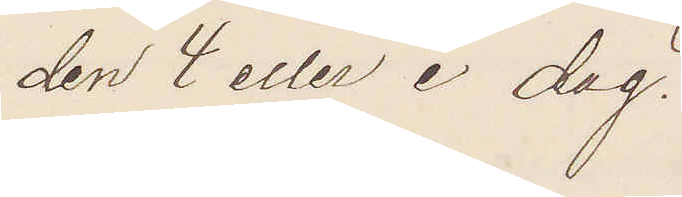den 4 eller i dag.
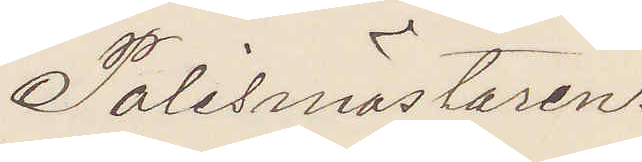Polismästaren.
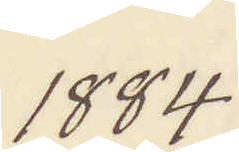1884.
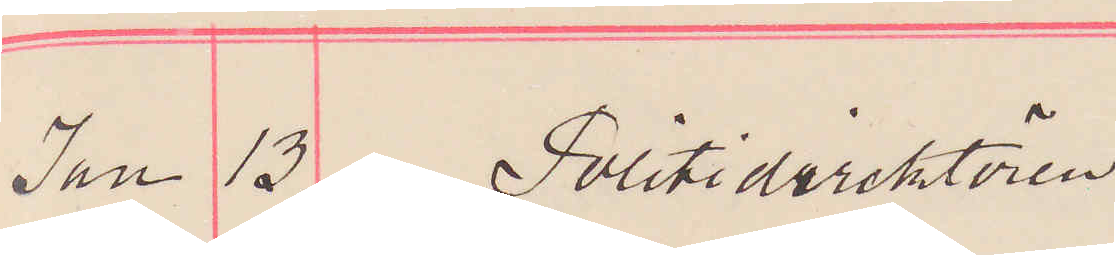Jan 13. Politidirektören
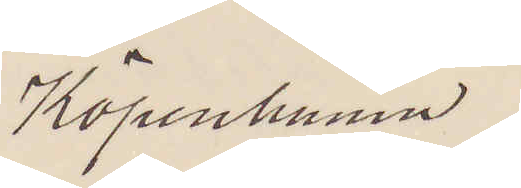Köpenhamn.
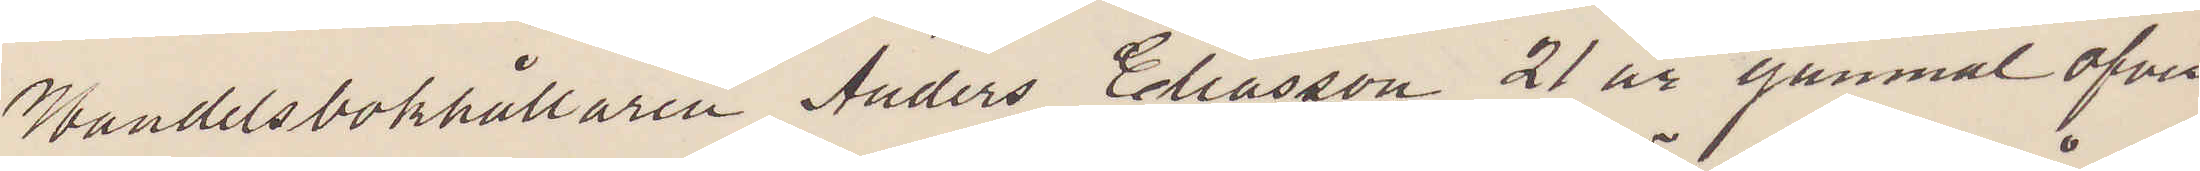Handelsbokhållaren Anders Eliasson 21 år gammal öfver
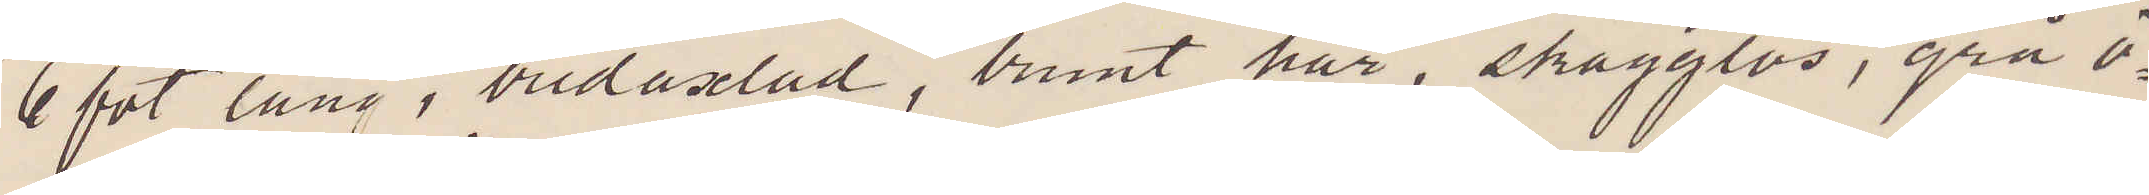6 fot lång, bredaxlad, brunt hår, skägglös, grå ö¬
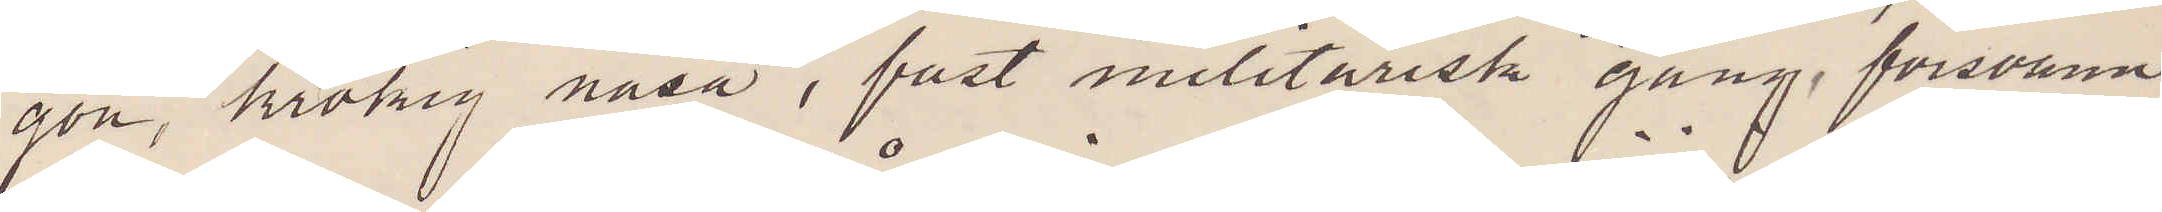gon, krokig näsa, fast militärisk gång, försvann
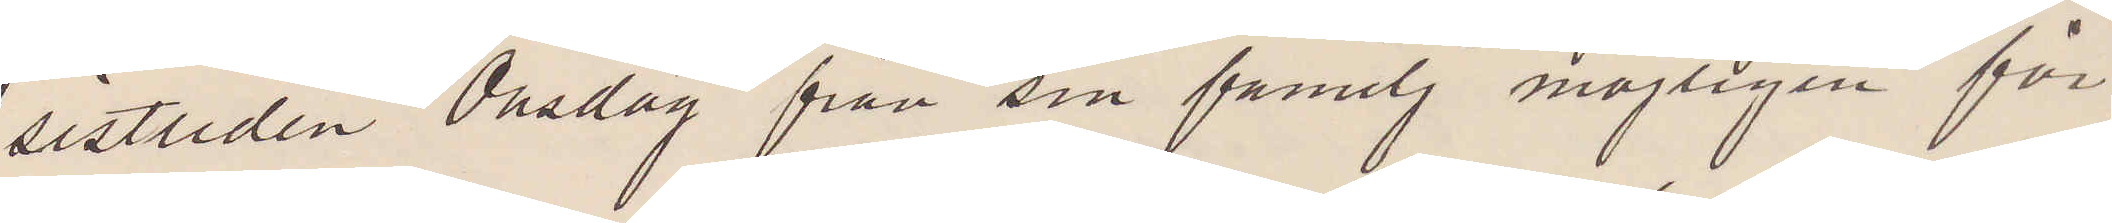sistliden Onsdag från sin familj möjligen för
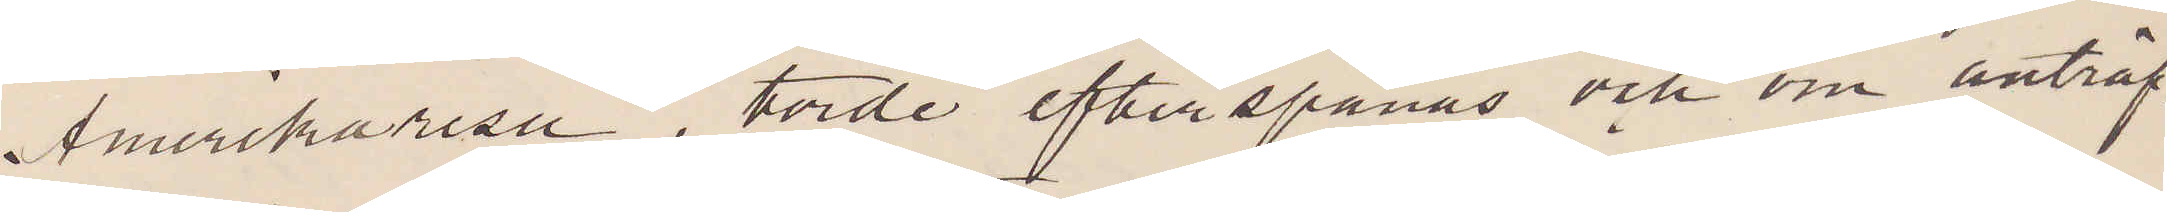Amerikaresa, torde efterspanas och om anträf¬
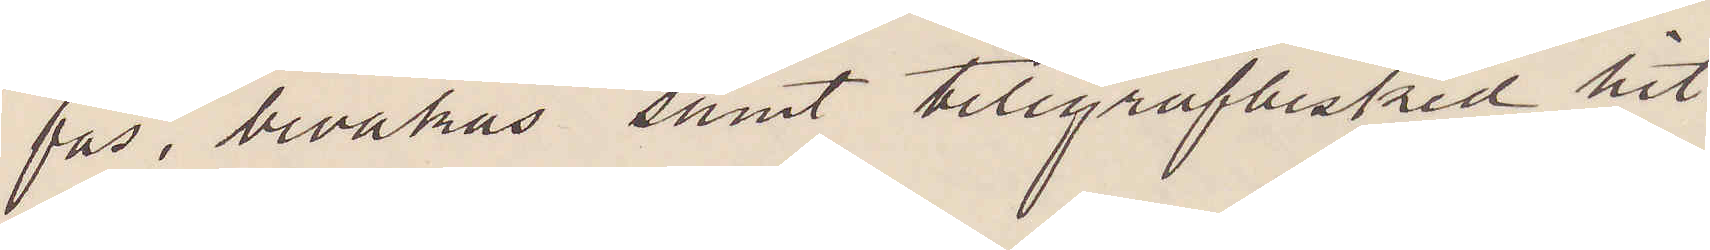fas, bevakas samt telegrafbesked hit.
